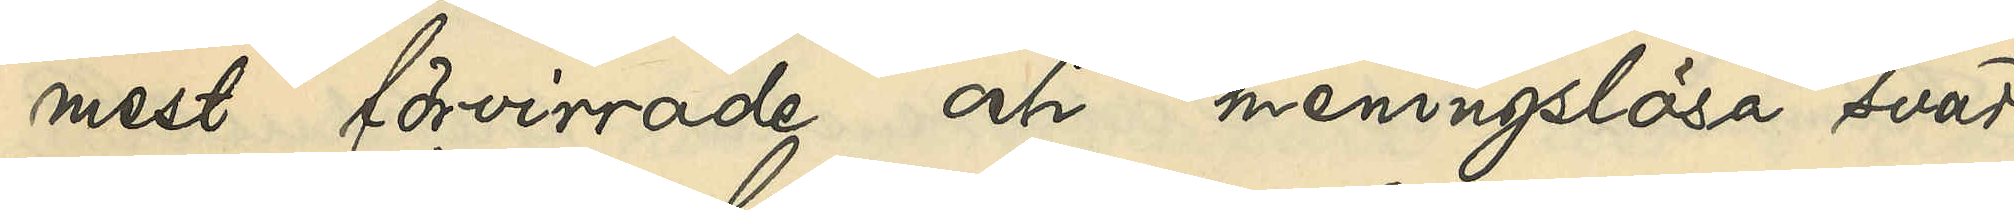mest förvirrade och meningslösa svar.
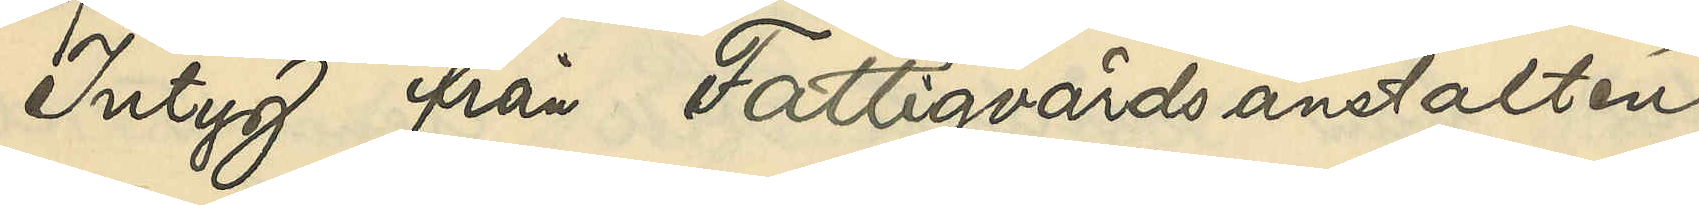Intyg från Fattigvårdsanstalten
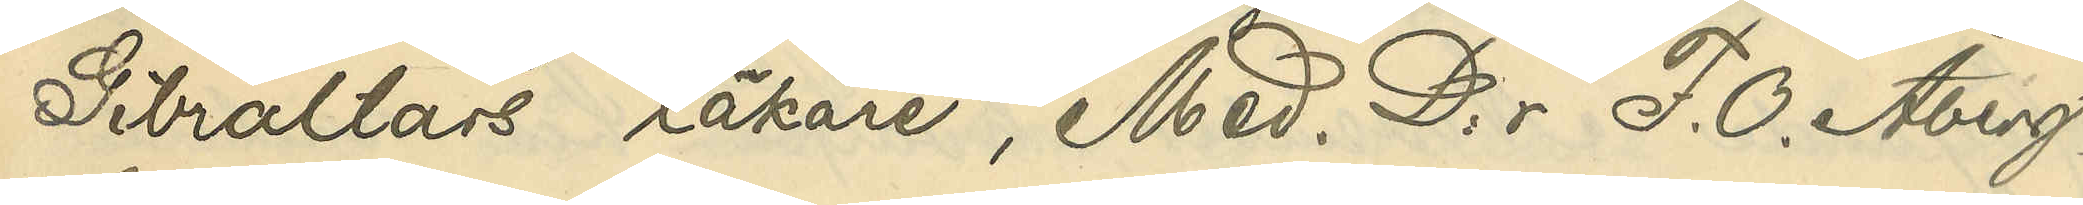Gibraltars läkare, Med. D:r F. O. Åberg,
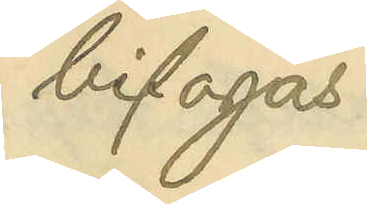bifogas.
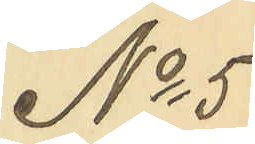No 5
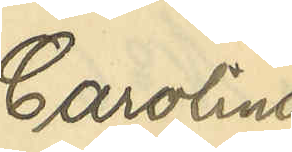Carolina
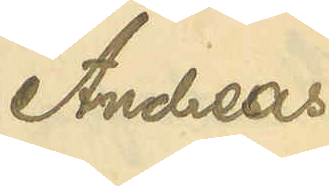Andreas¬
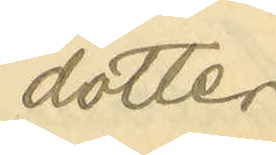dotter
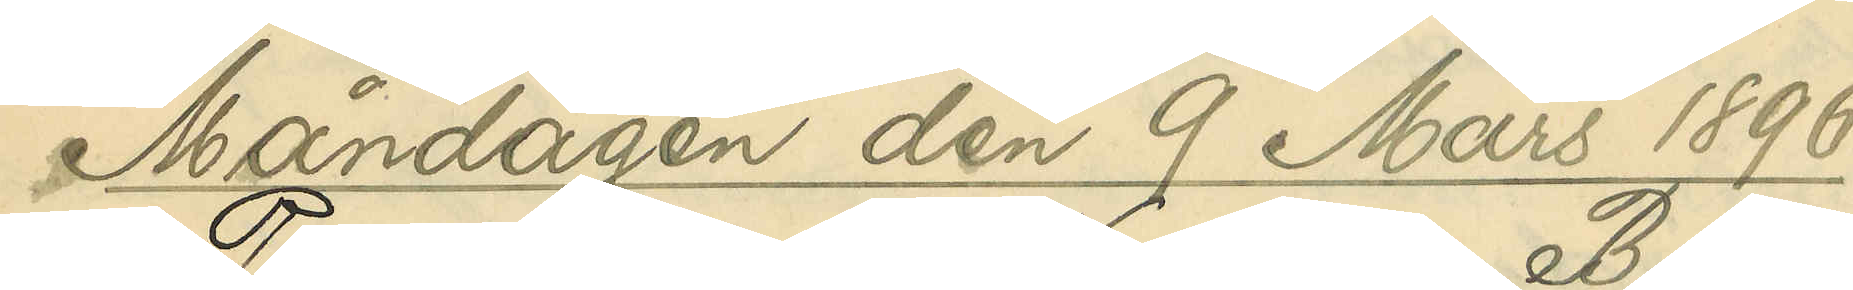Måndagen den 9 Mars 1896.
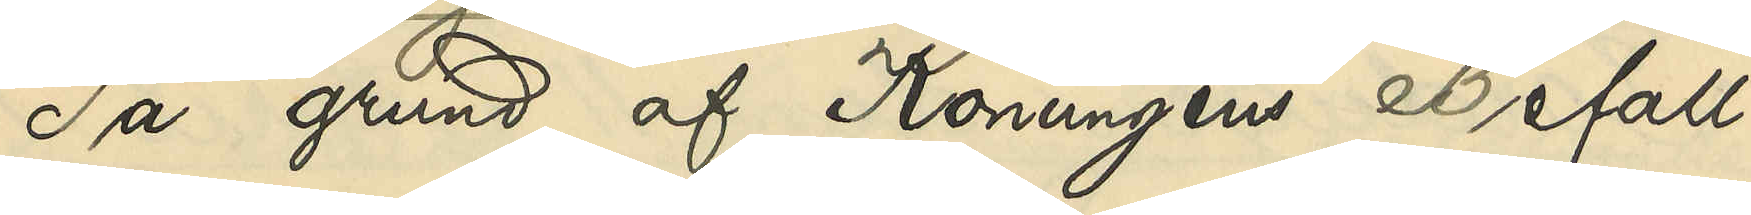På grund af Konungens Befall¬
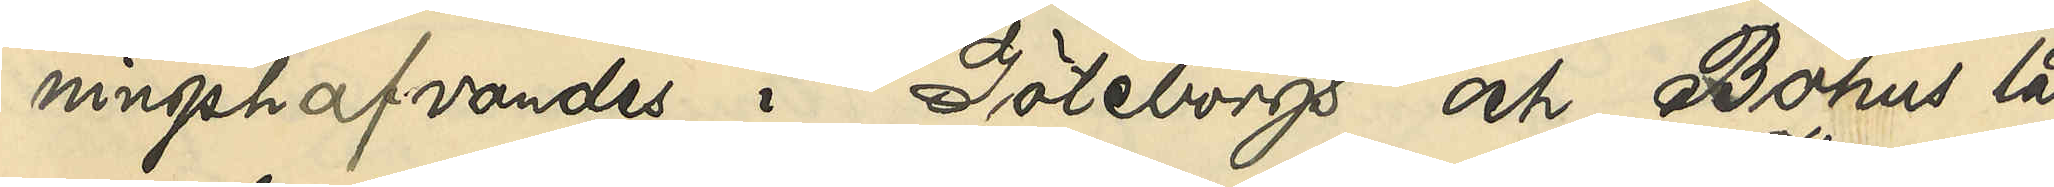ningshafvandes i Göteborgs och Bohus län
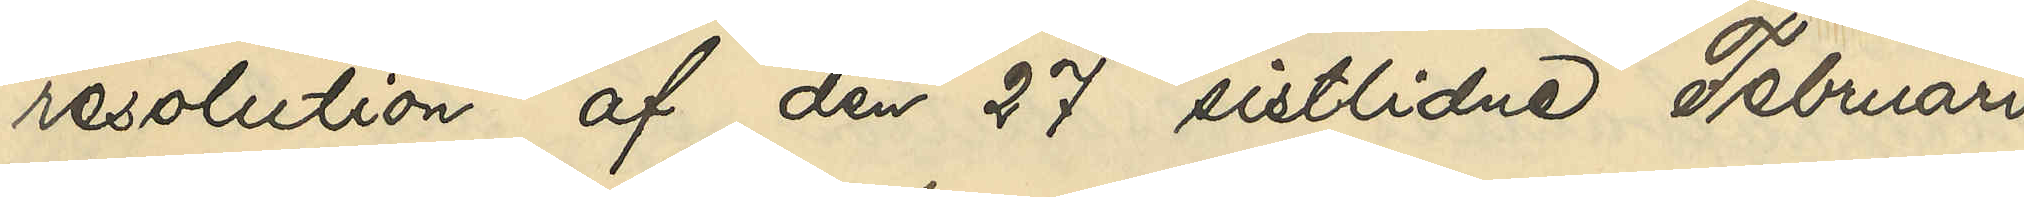resolution af den 27 sistlidne Februari,
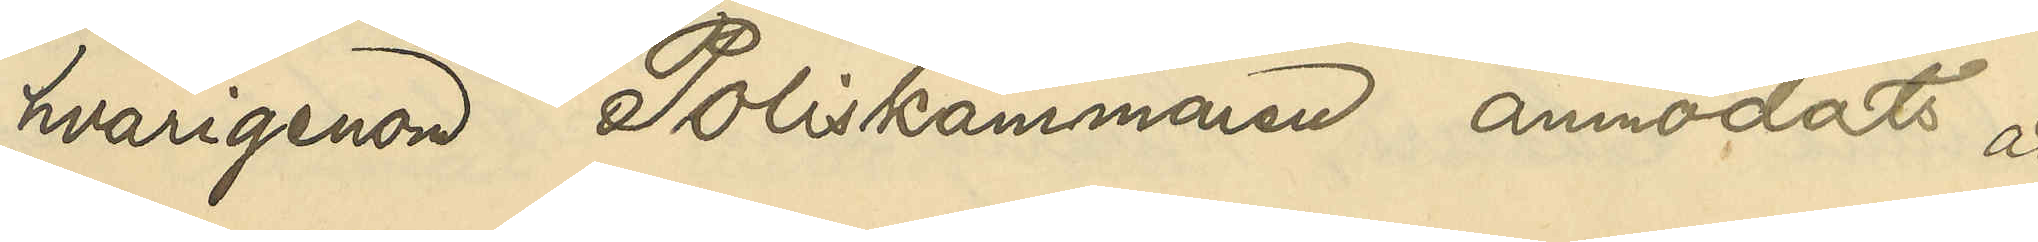hvarigenom Poliskammaren anmodats att
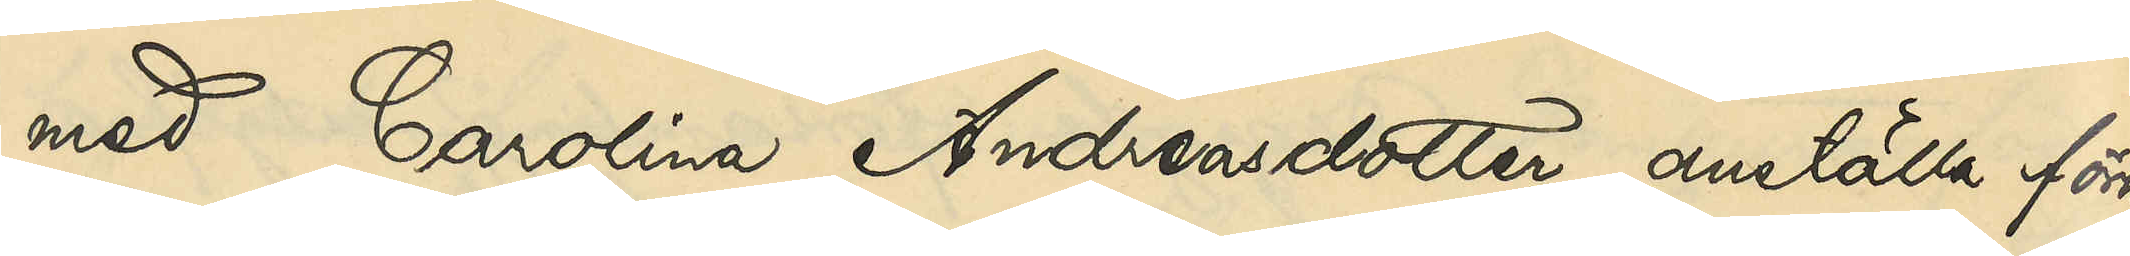med Carolina Andreasdotter anstälda förhör
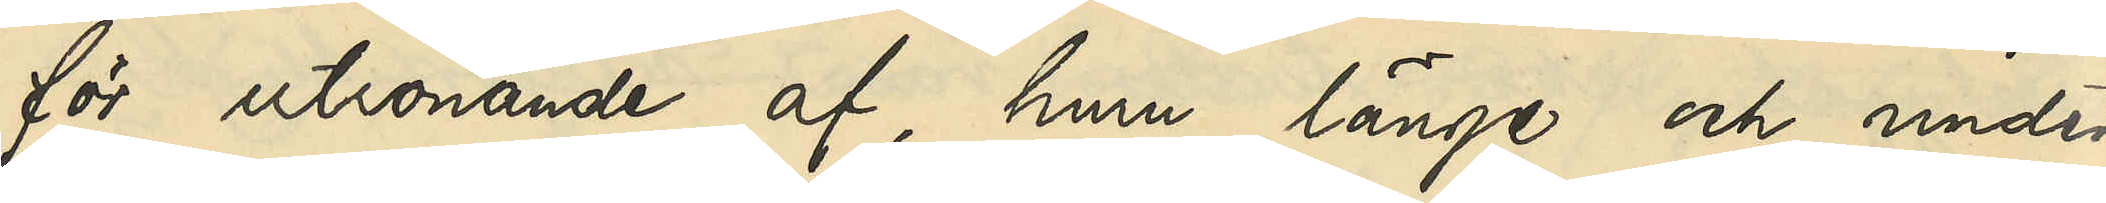för utrönande af, huru länge och under
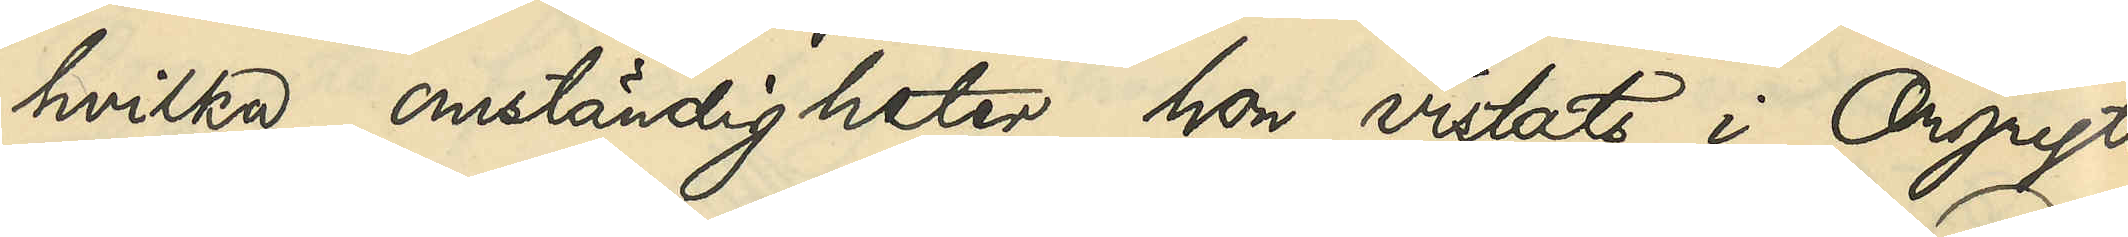hvilka omständigheter hon vistats i Örgryte
